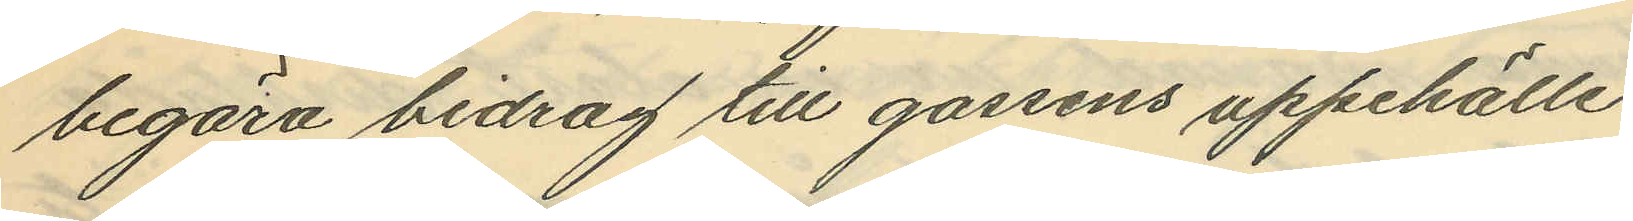begära bidrag till gossens uppehälle.
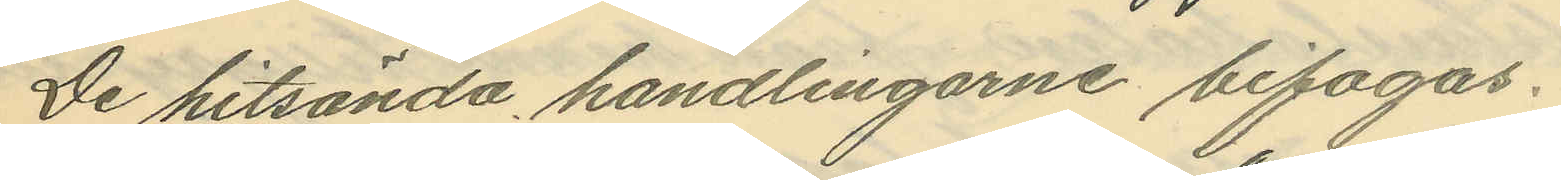De hitsända handlingarne bifogas.
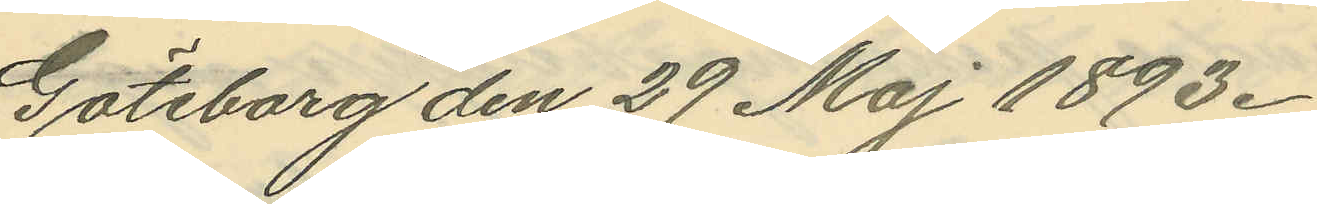Göteborg den 29 Maj 1893.
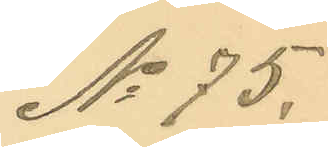No 75.
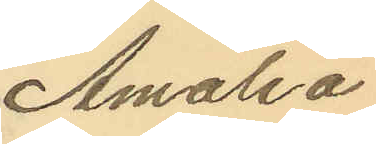Amalia
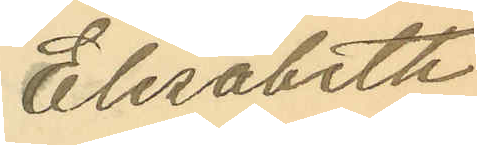Elisabeth
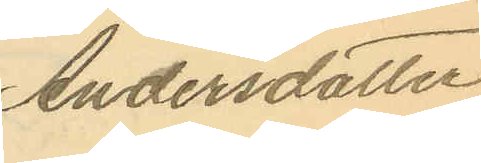Andersdotter
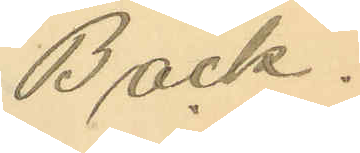Back.
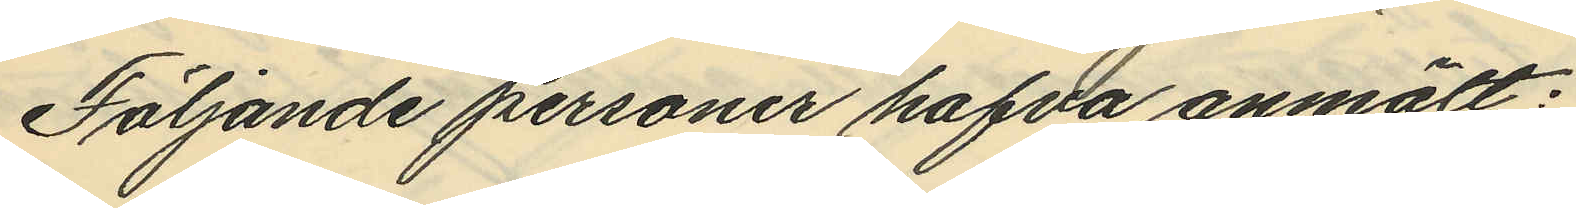Följande personer hafva anmält:
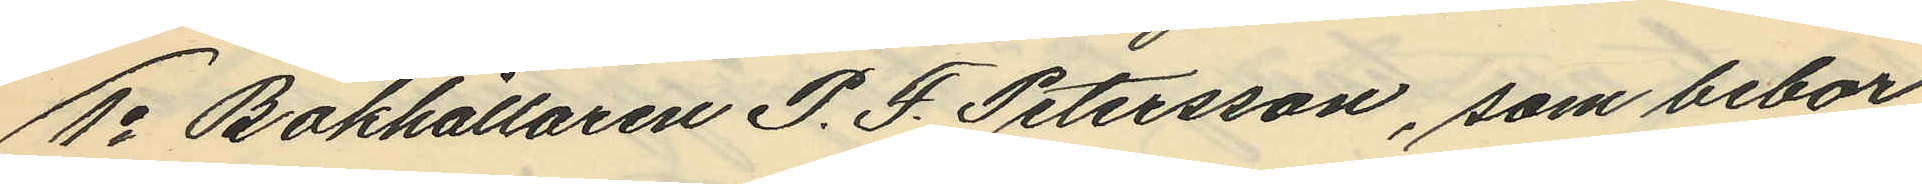1o Bokhållaren P. F. Petersson, som bebor
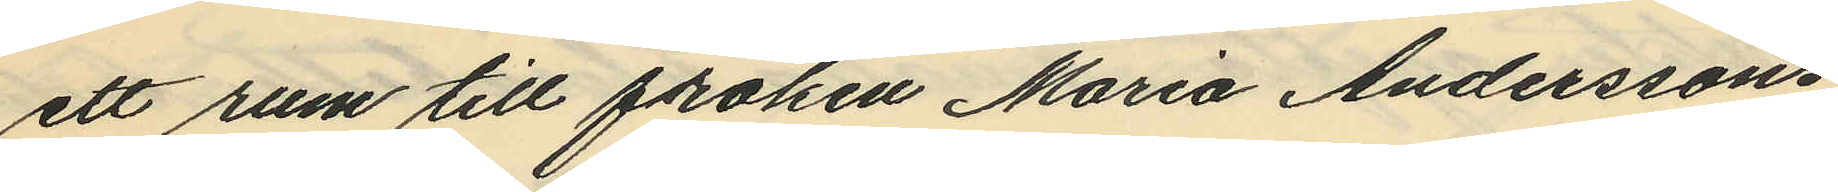ett rum till fröken Maria Anderssons
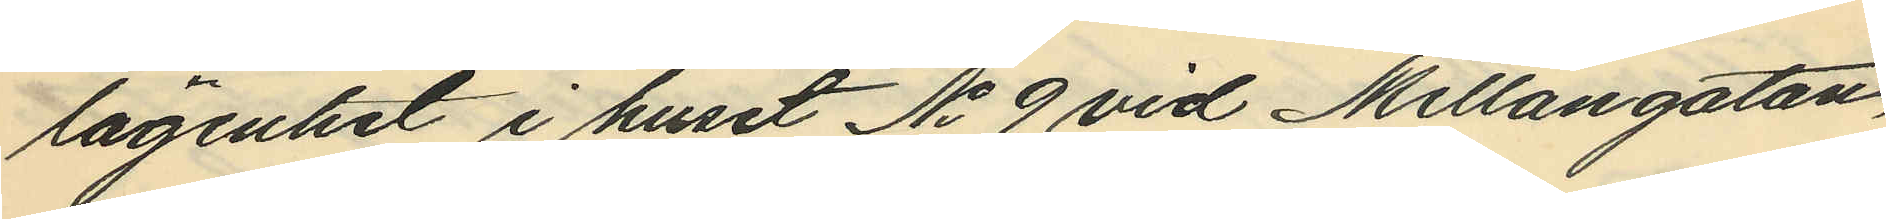lägenhet i huset No 9 vid Mellangatan,
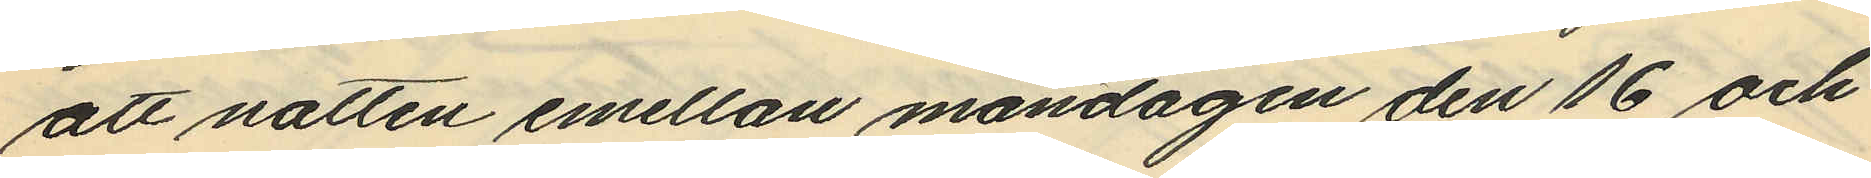att natten emellan måndagen den 16 och
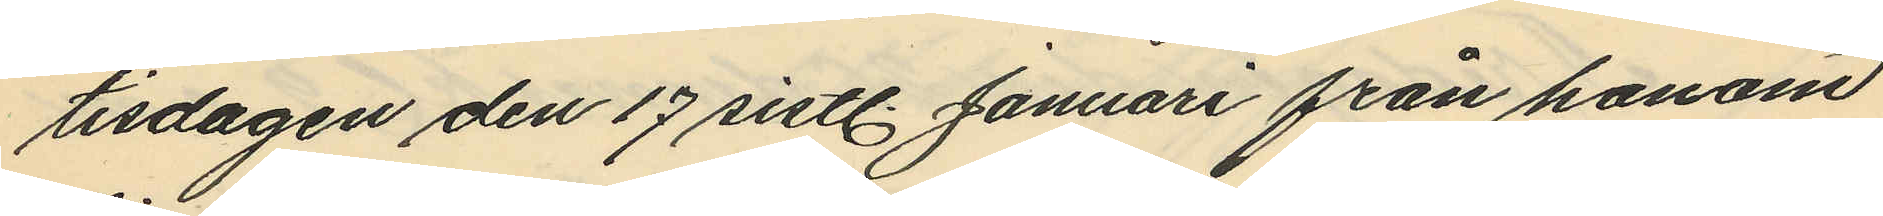tisdagen den 17 sistl. Januari från honom
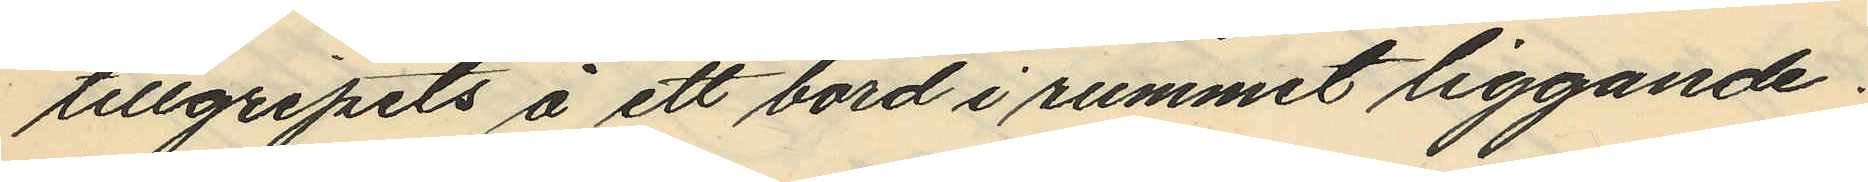tillgripits å ett bord i rummet liggande:
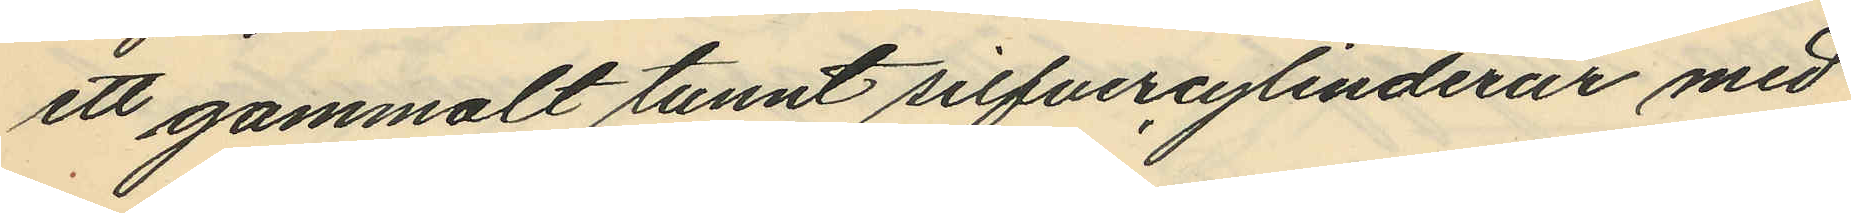ett gammalt tunnt silfvercylinderur med
